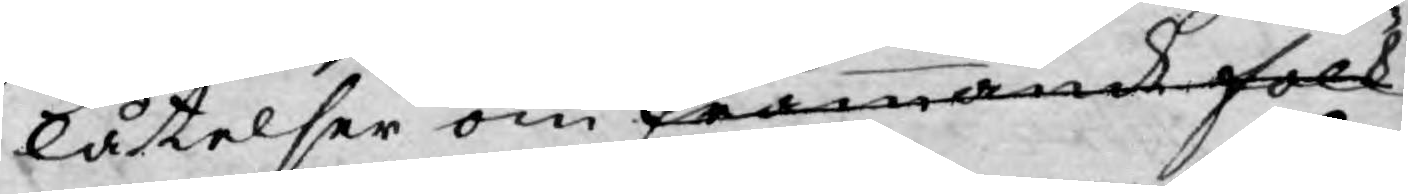låtelser om främmande folk
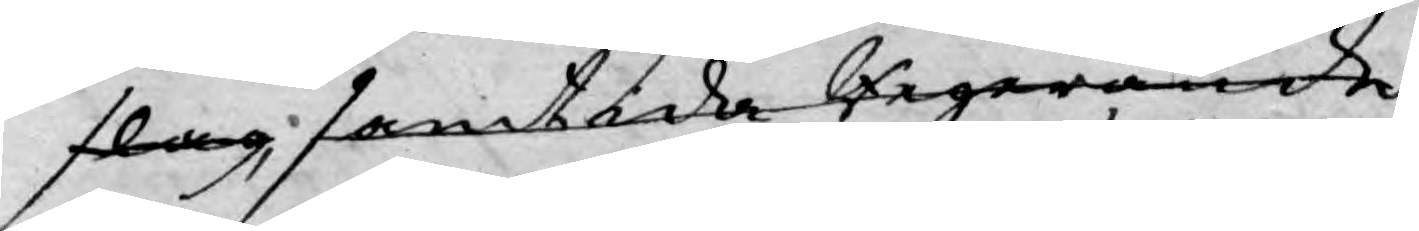slag, samtida Regerande
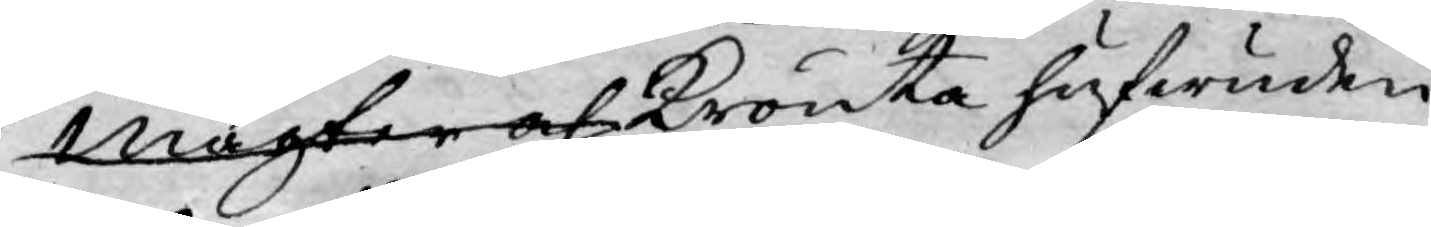magter och Krönta hufwuden
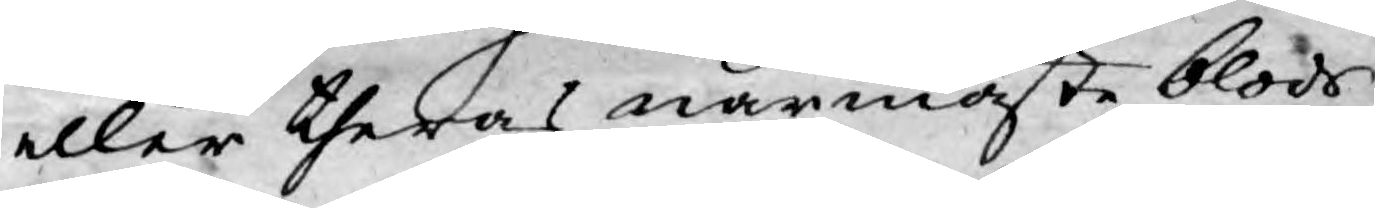eller theras närmaste blods
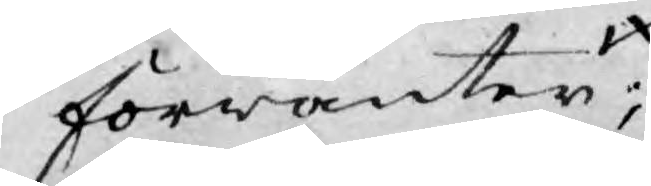förwanter;
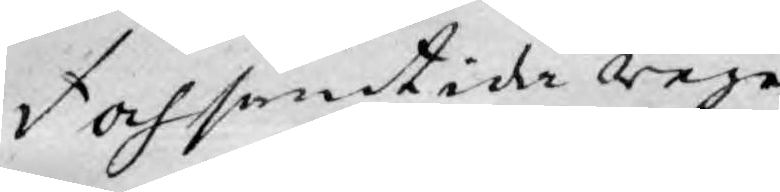och samtida rege¬
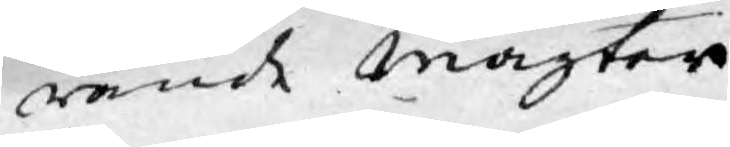rande Magter
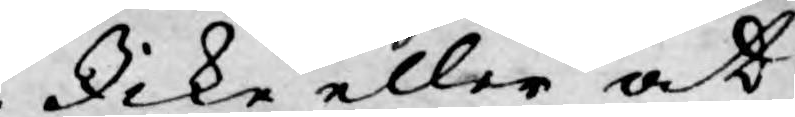Icke eller at
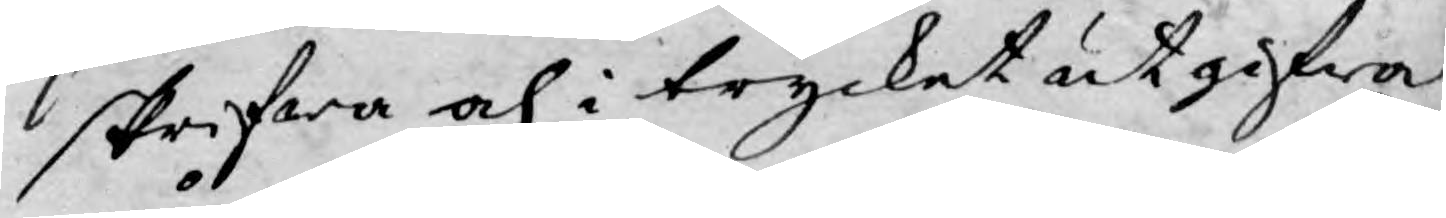skrifwa och i trycket utgifwa
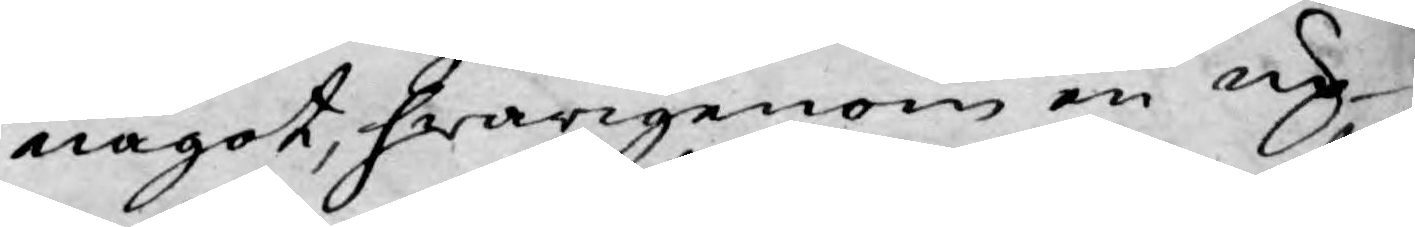något, hwarigenom en up¬
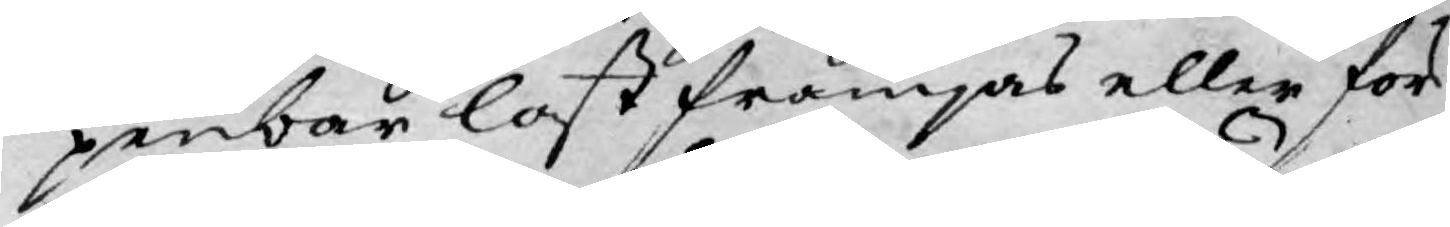penbar last främjas eller för¬
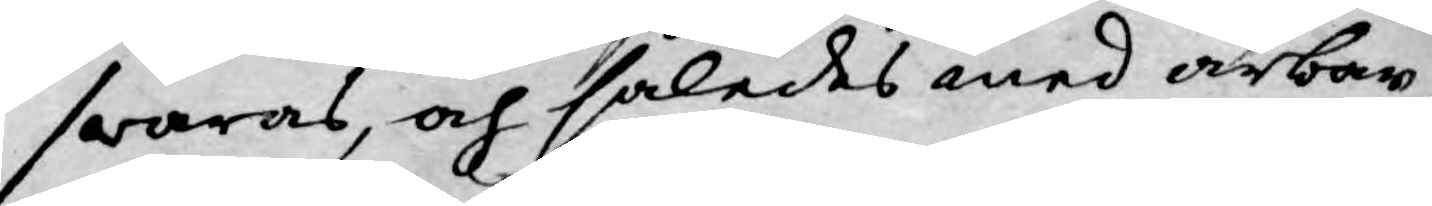swaras, och således med ärbar¬
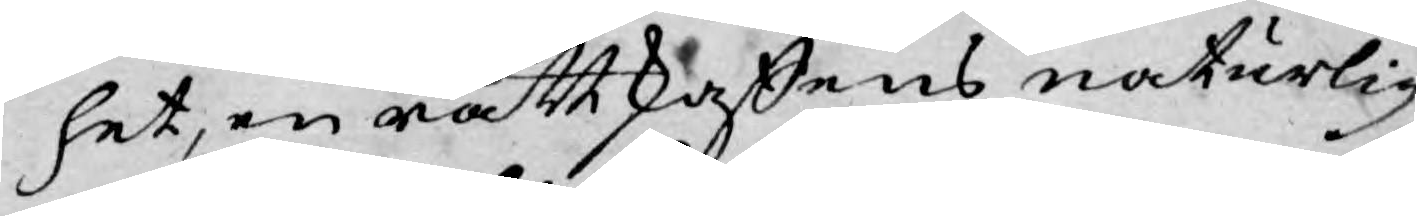het, en rättskaffens naturlig
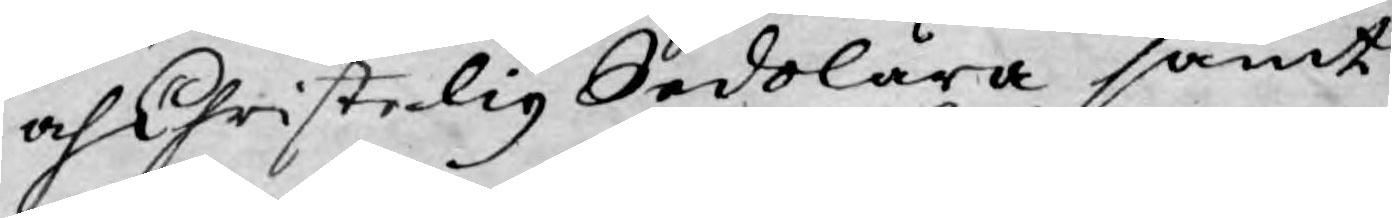och Christelig Sedolära samt
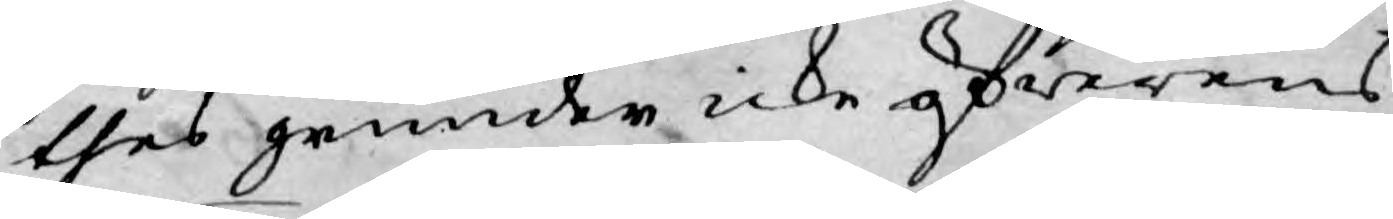thes grunder icke öfwerens
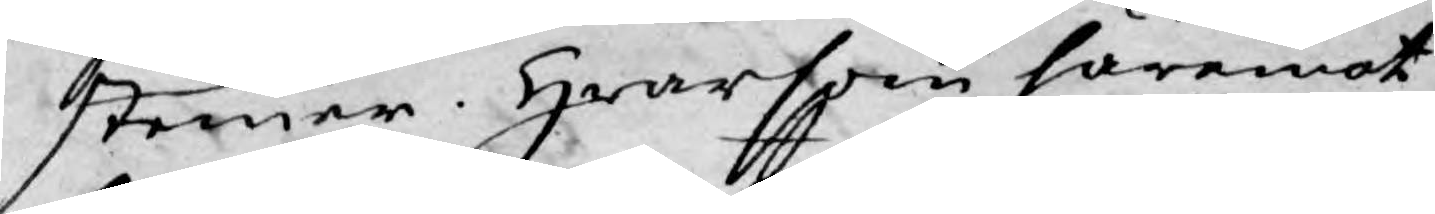stemer. Hwarsom häremot
